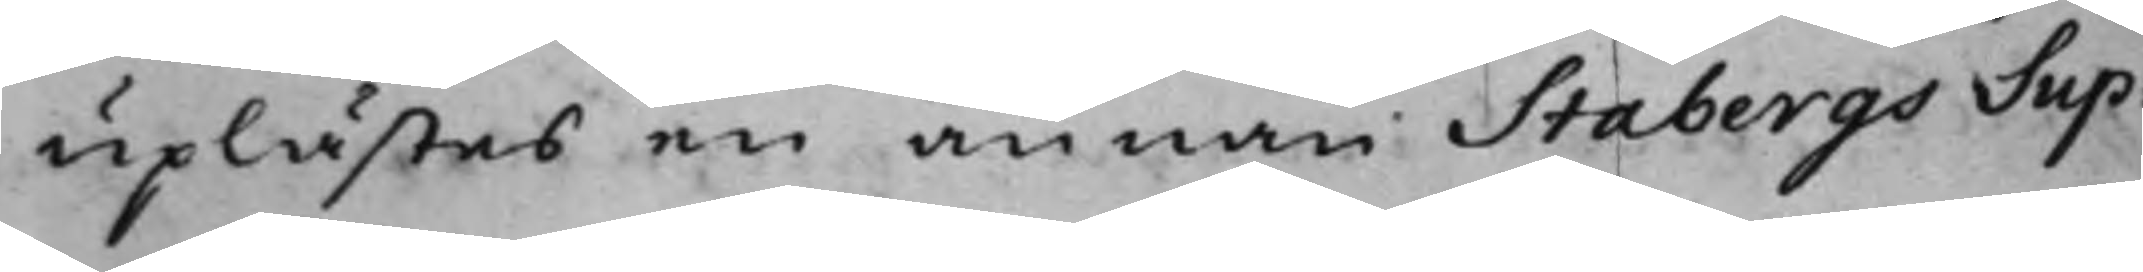uplästes en annan Stabergs Sup¬
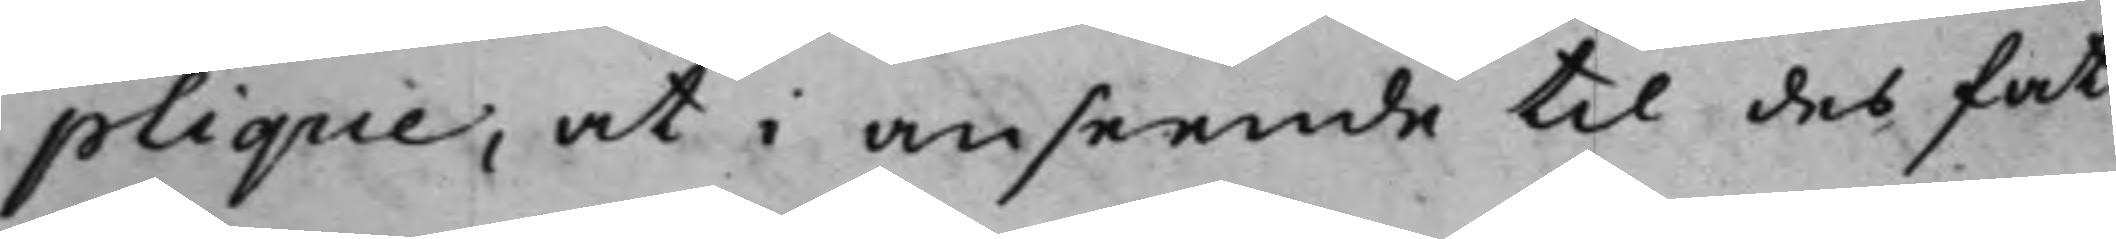plique, at i anseende til des fat¬
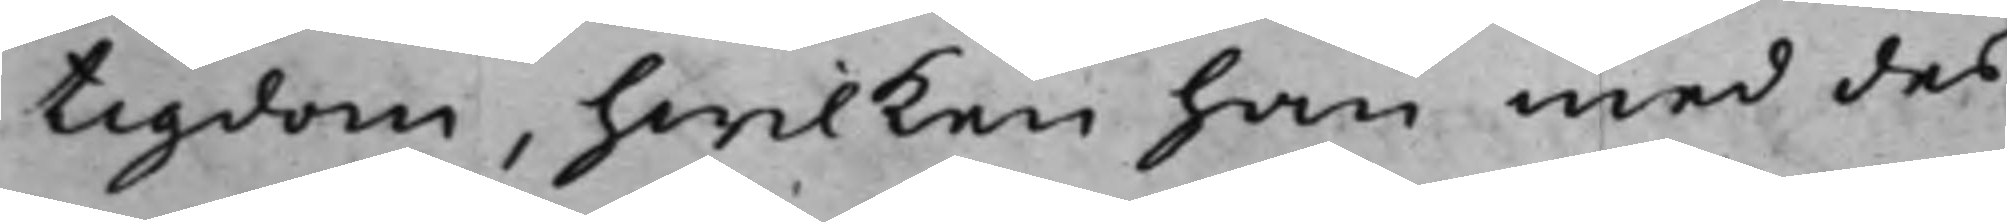tigdom, hwilken han med des
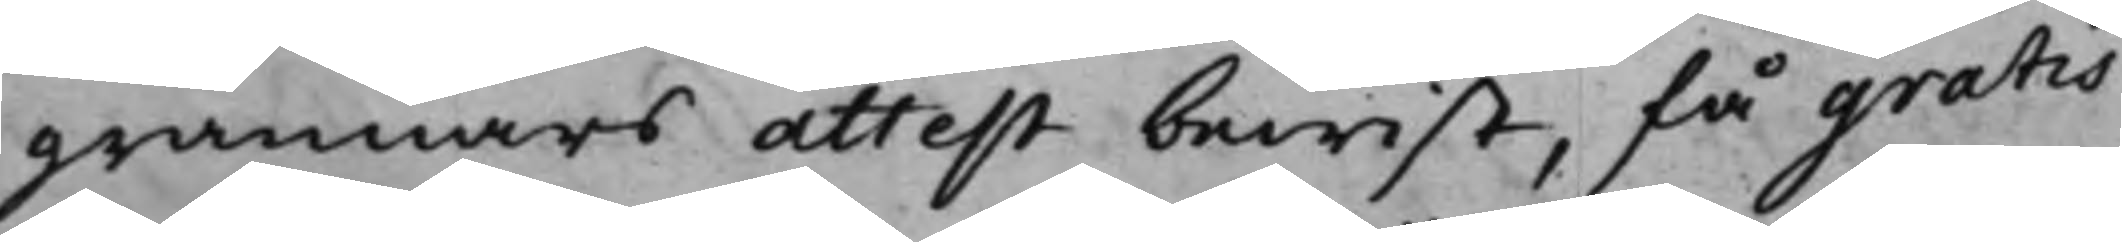grannars attest bewist, få gratis
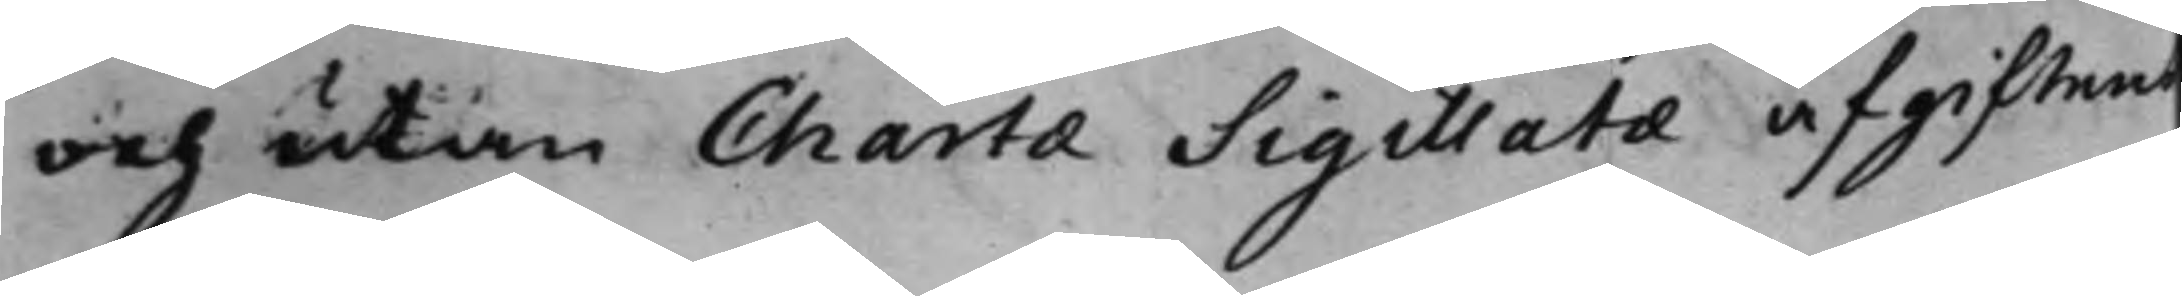och utan Charta Sigillata afgiftens
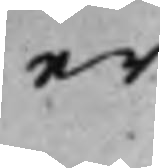er¬
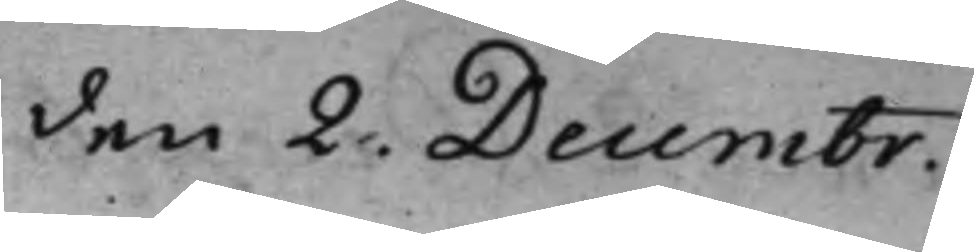den 2. Decembr.
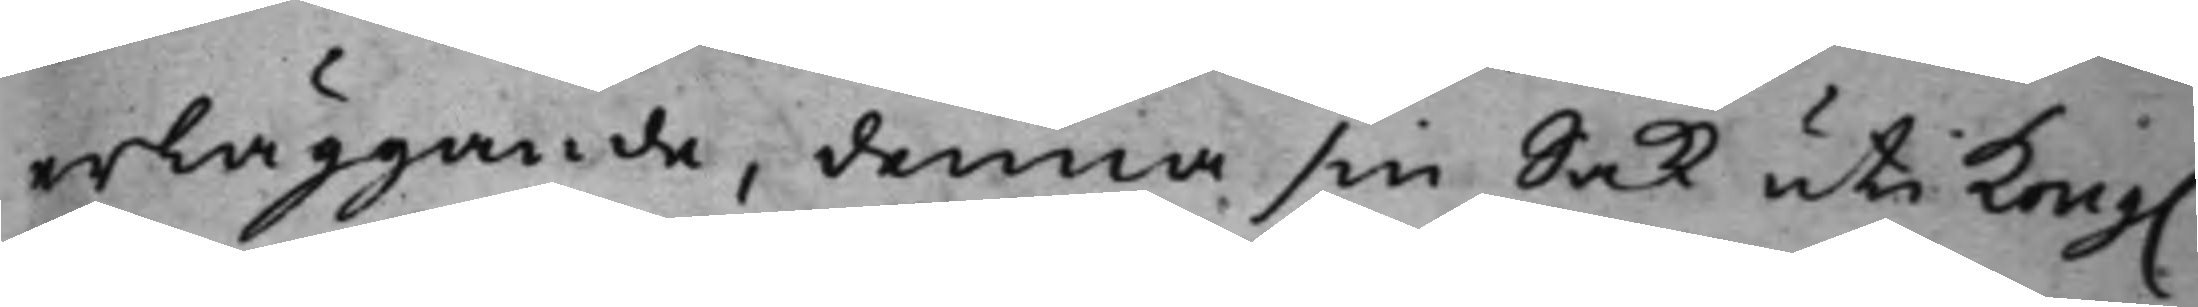erläggande, denna sin sak uti Kong.
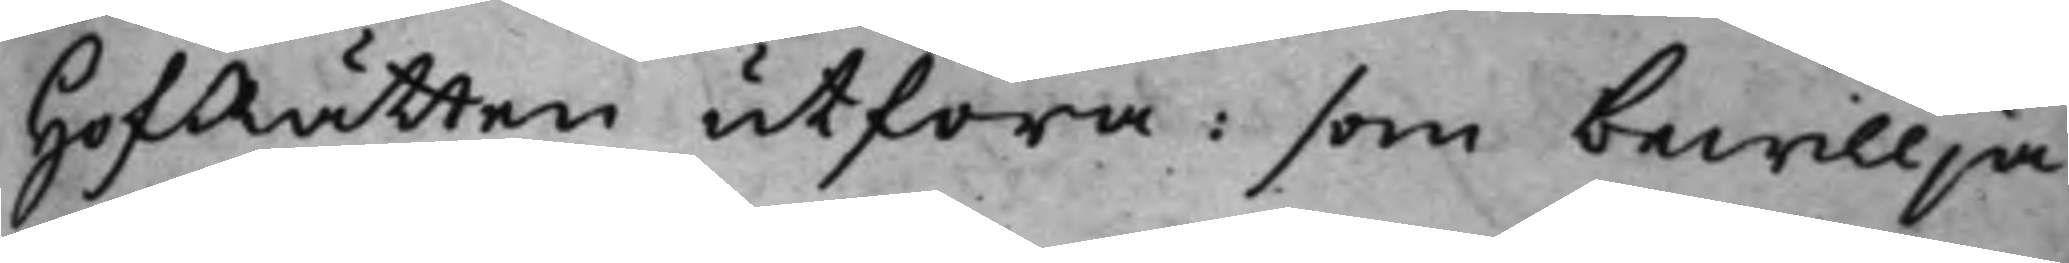HofRätten utföra: som bewillja¬
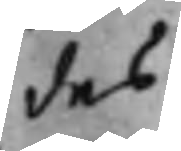des.
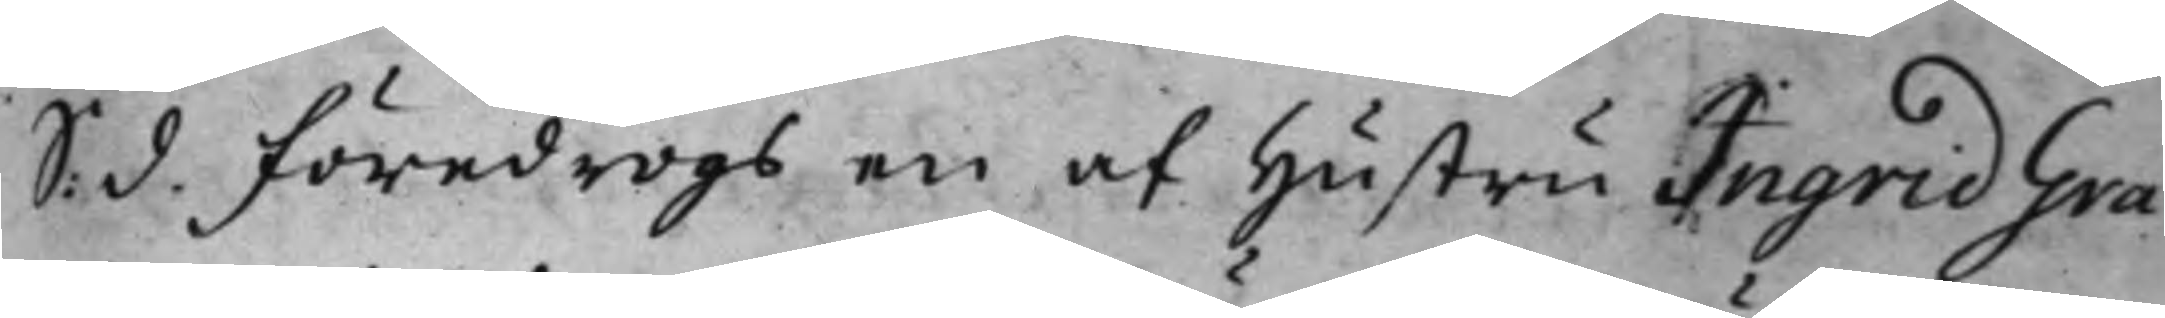S. d. Föredrogs en af Hustru Ingrid Grå¬
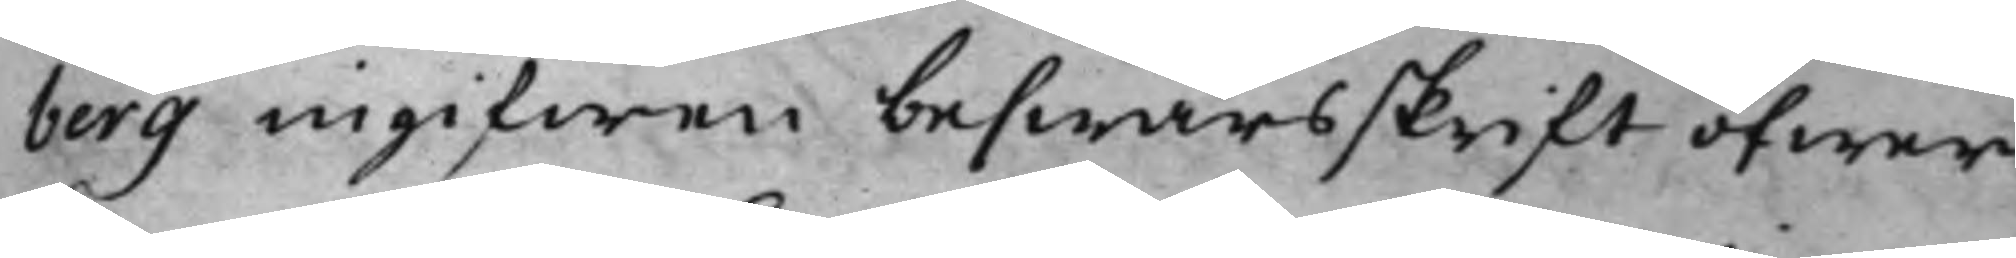berg ingifwen beswärsskrift öfwer
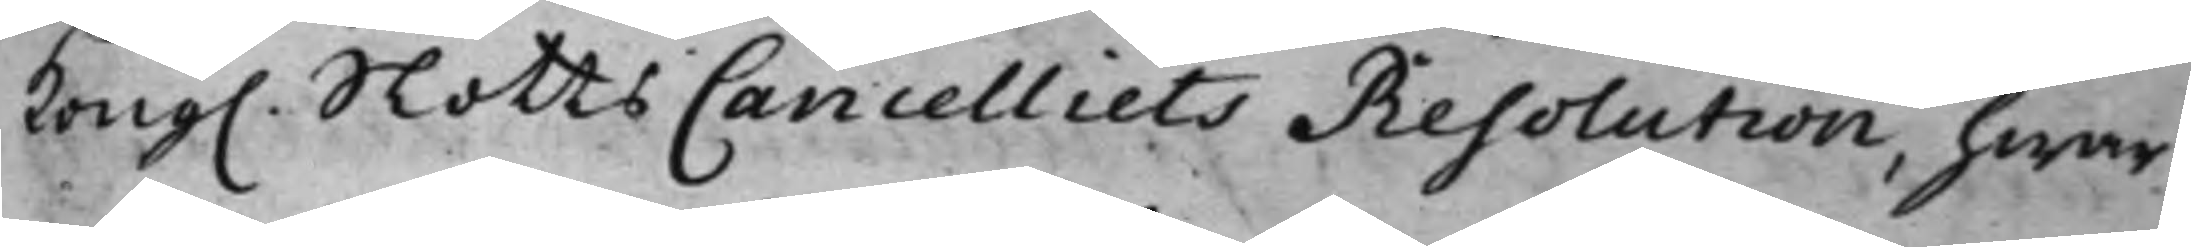Kong. SlottsCancelliets Resolution, hwar¬
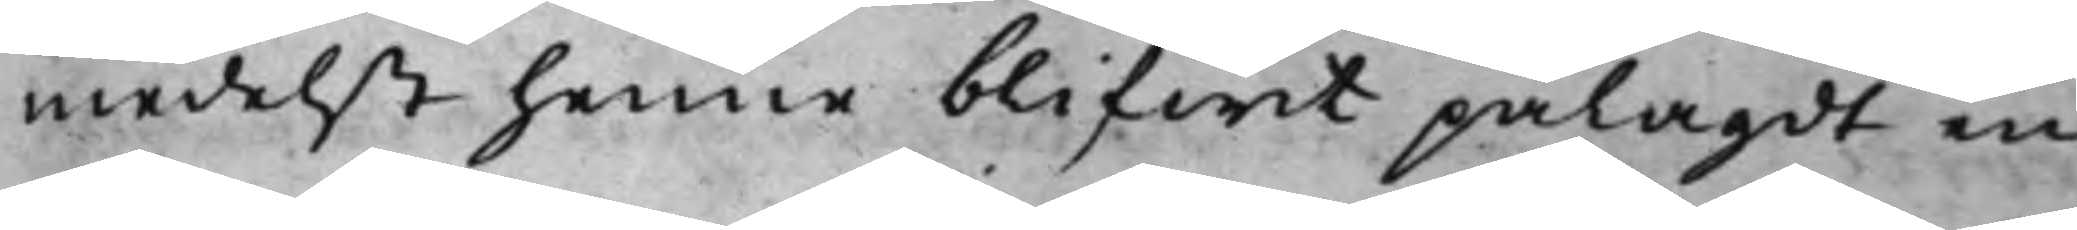medelst henne blifwit pålagdt en
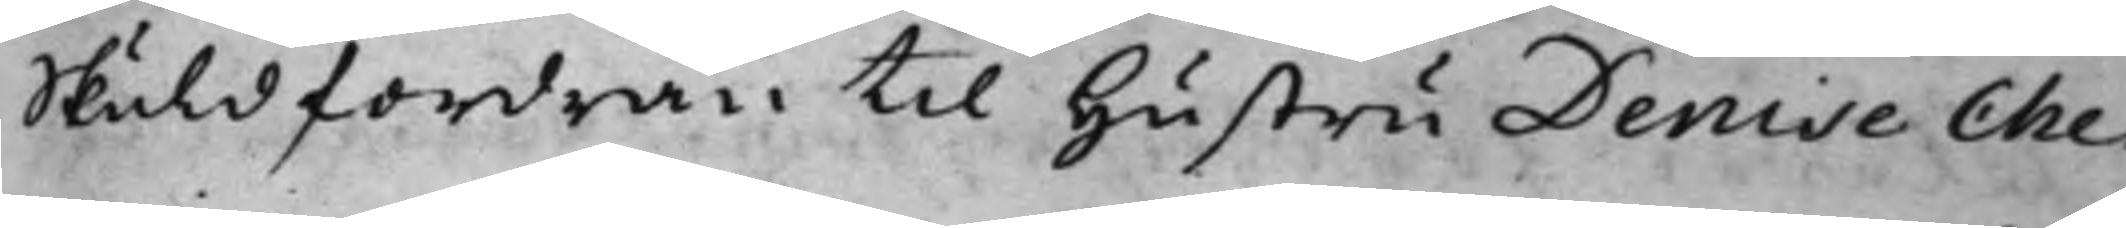skuldfordran till hustru Denise Che¬
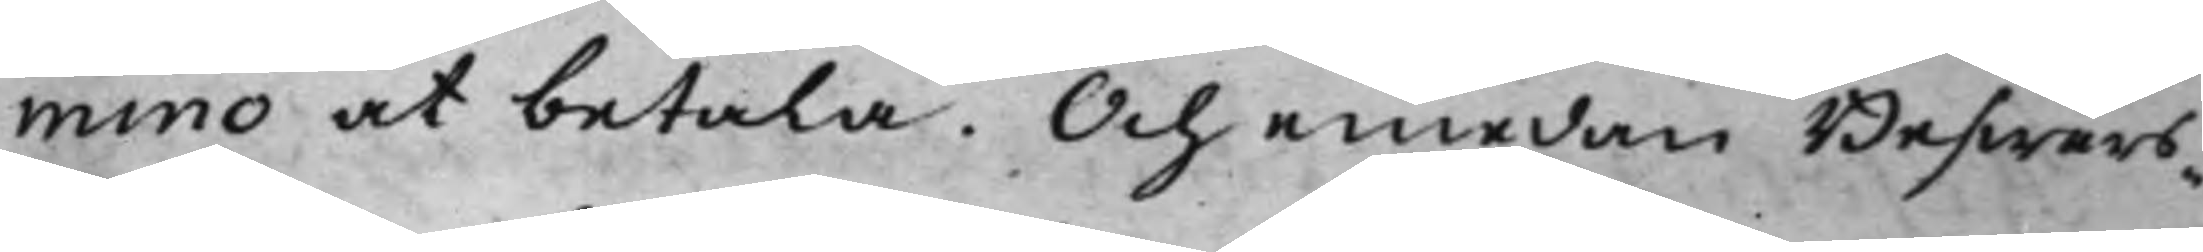mino at betala. Och emedan Beswärs¬
